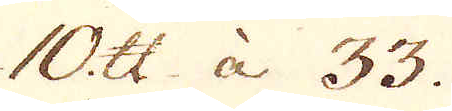10 skålpund à 33.
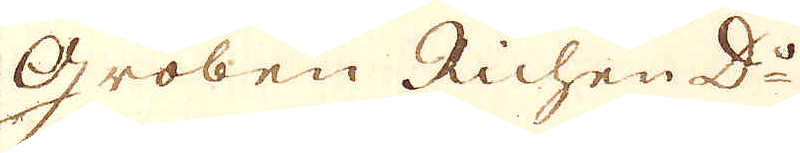Groben Richen D:o
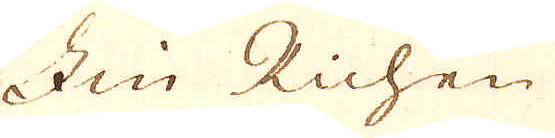Fin Richen
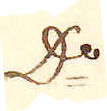D:o
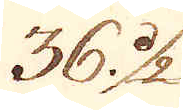36 1/2
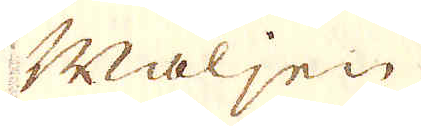Maljen
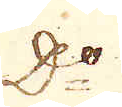D:o
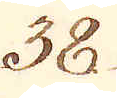38.
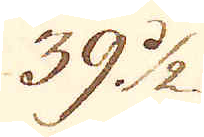39 1/2
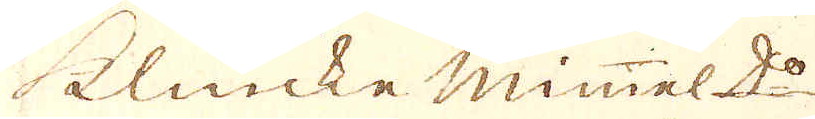klincke mimel d:o
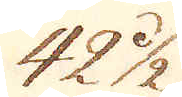42 1/2
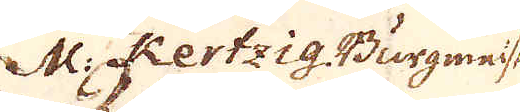M: Kertzig Burgmeise:
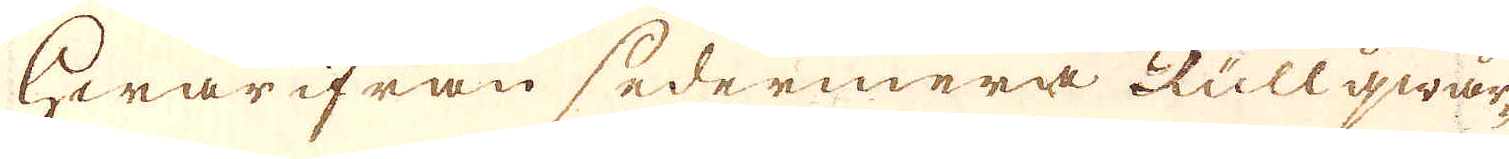Hwarifrån sedermera Rullqwar-
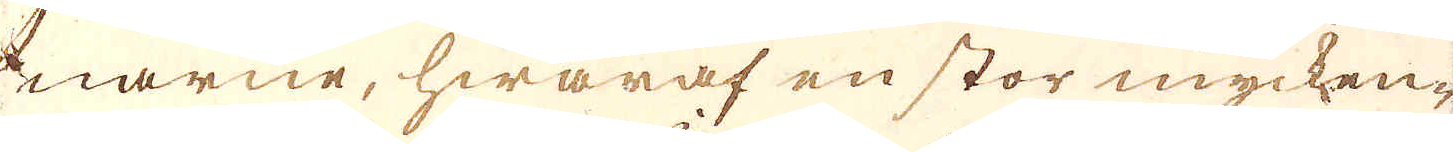narne, hwaraf en stor mycken-
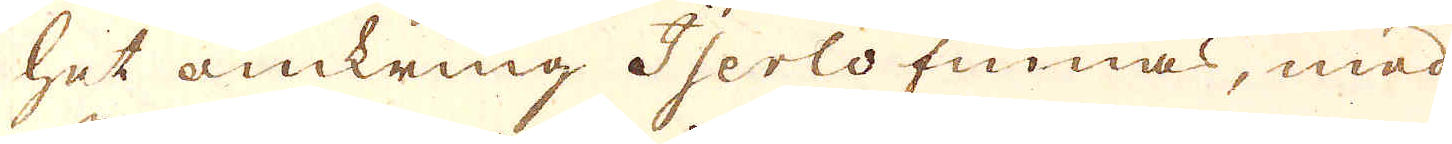het omkring Iserlo finnas, med
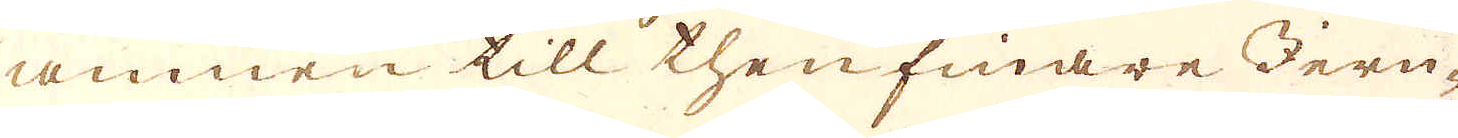ämnen till then finare Jern-
